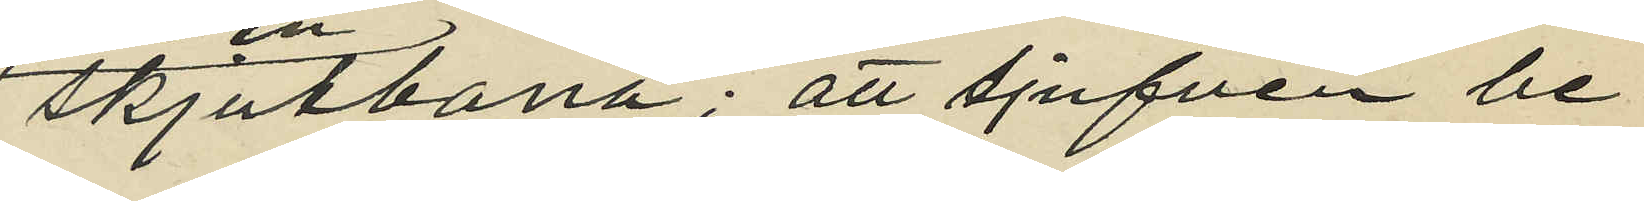skjutbana; att tjufven be¬
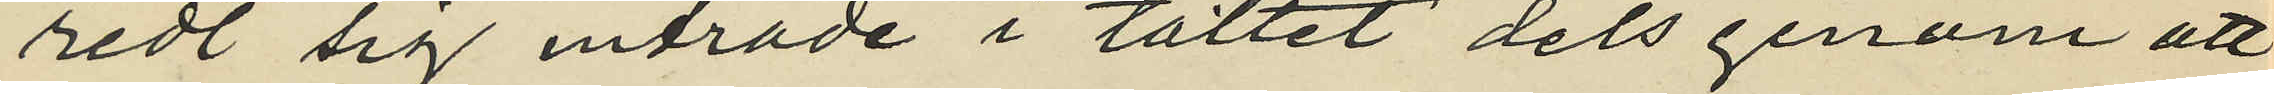redt sig inträde i tältet dels genom att
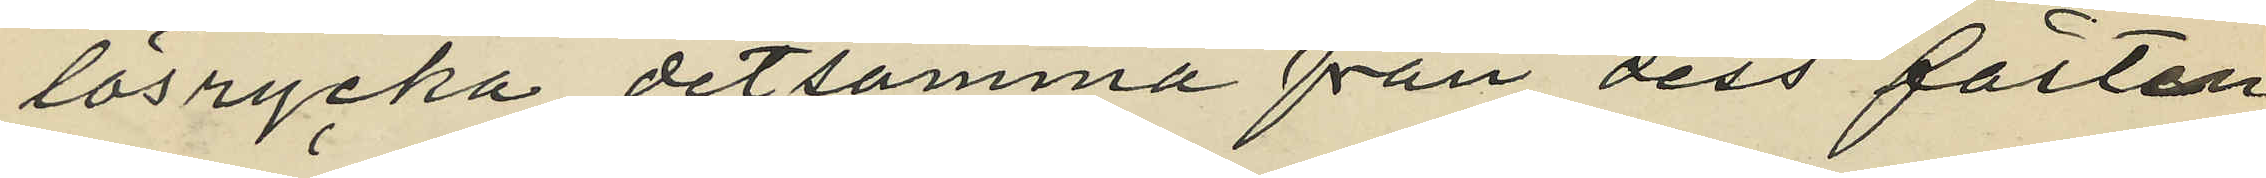lösrycka detsamma från dess fästen
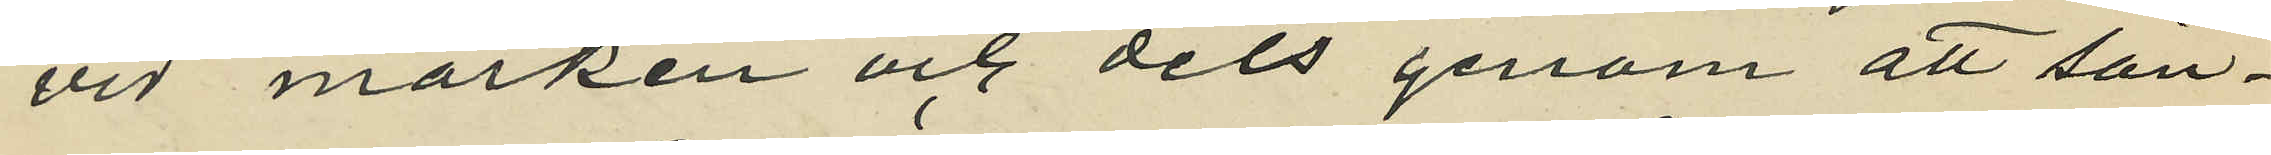vid marken och dels genom att sön¬
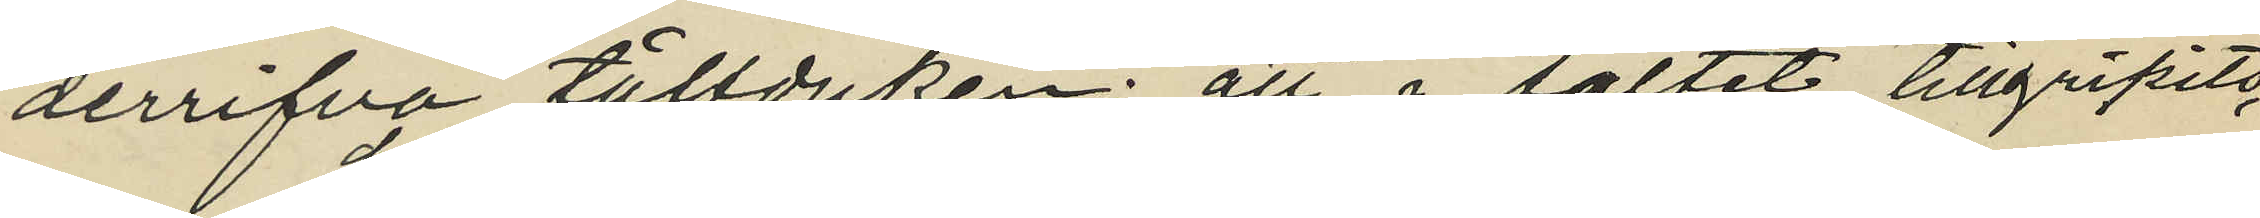derrifva tältduken; att i tältet tillgripits
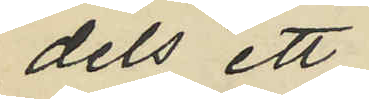dels ett
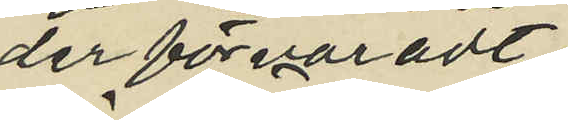der förvaradt
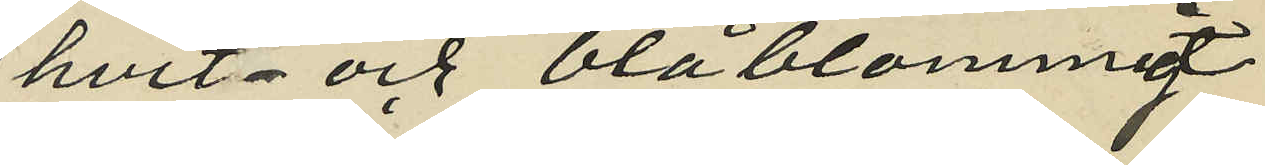hvit- och blåblommigt
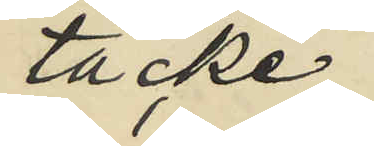täcke;
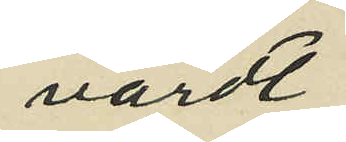värdt
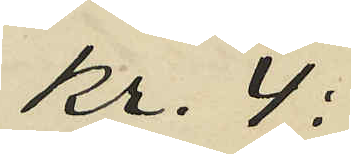Kr. 4:
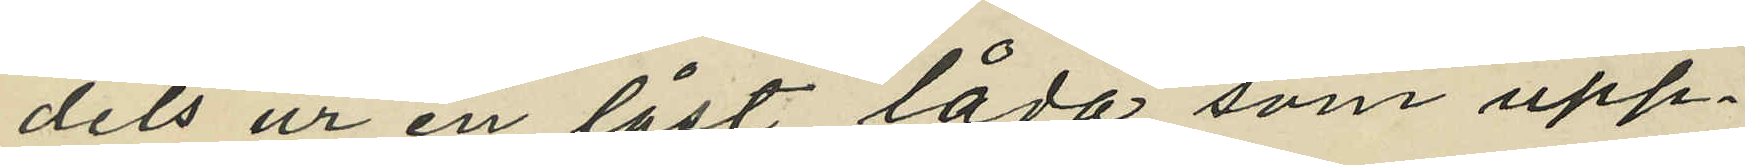dels ur en låst låda som upp¬
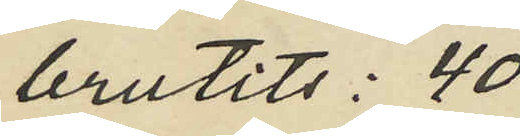brutits: 40
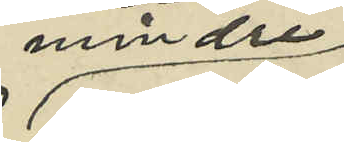mindre
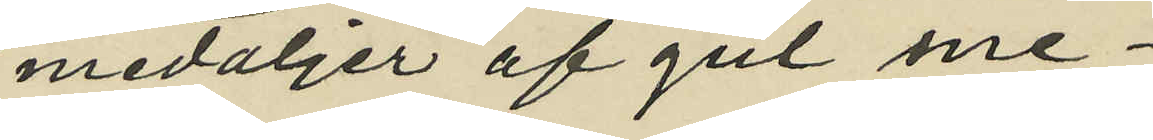medaljer af gul me¬
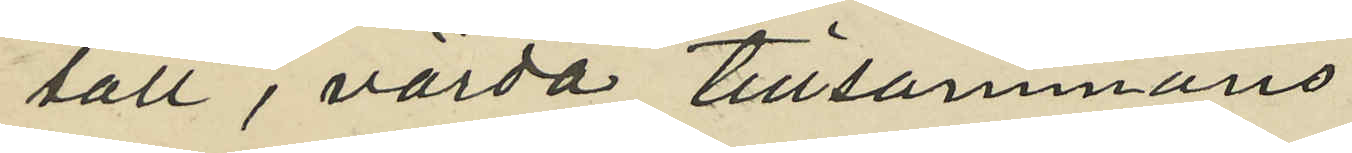tall, värda tillsammans
